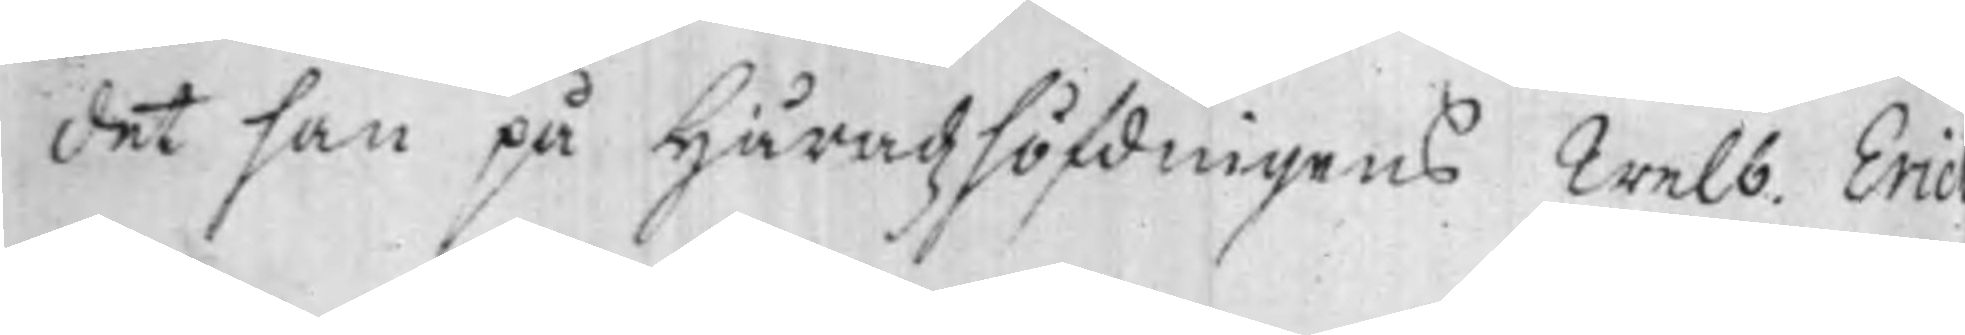det han på Häradzhöfdingens Welb. Eric
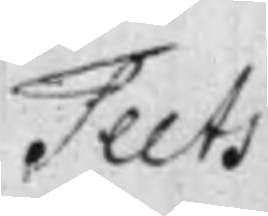Teets
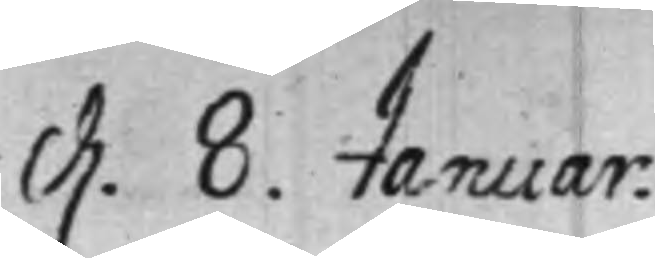d. 8. Januar.
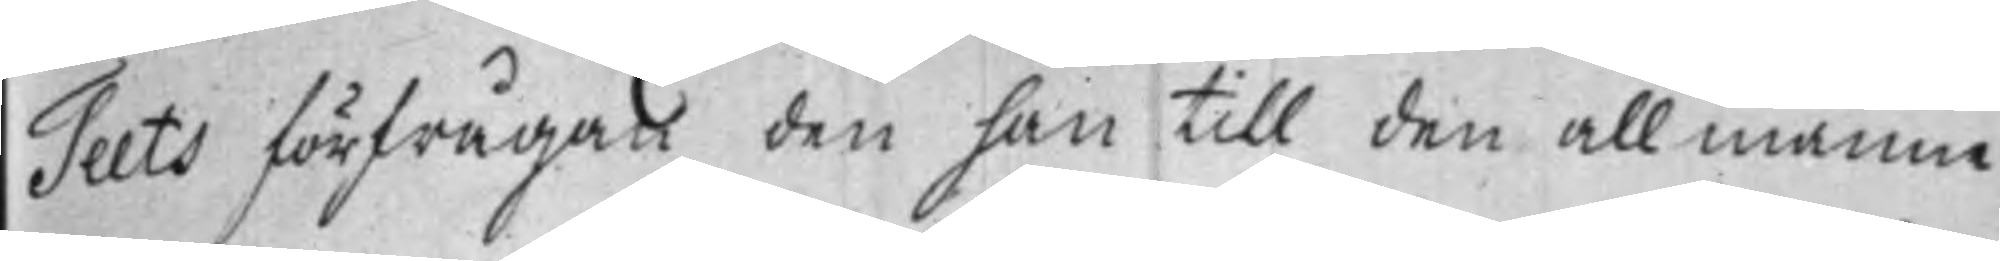Teets förfrågan den han till den allmänna
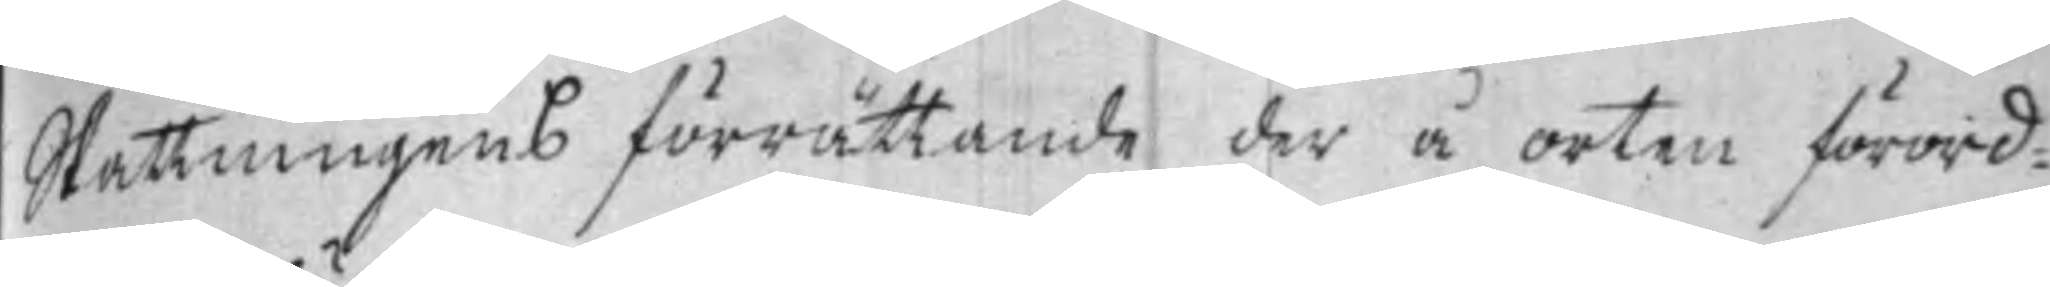Skattningens förrättande der å orten förord¬
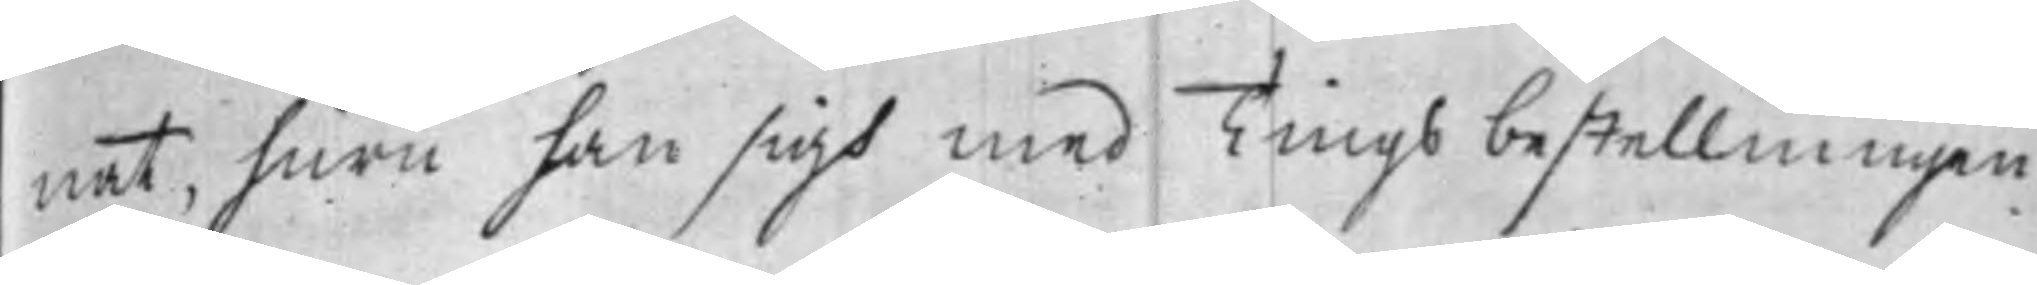nat, huru han sigh med Tings bestellningen
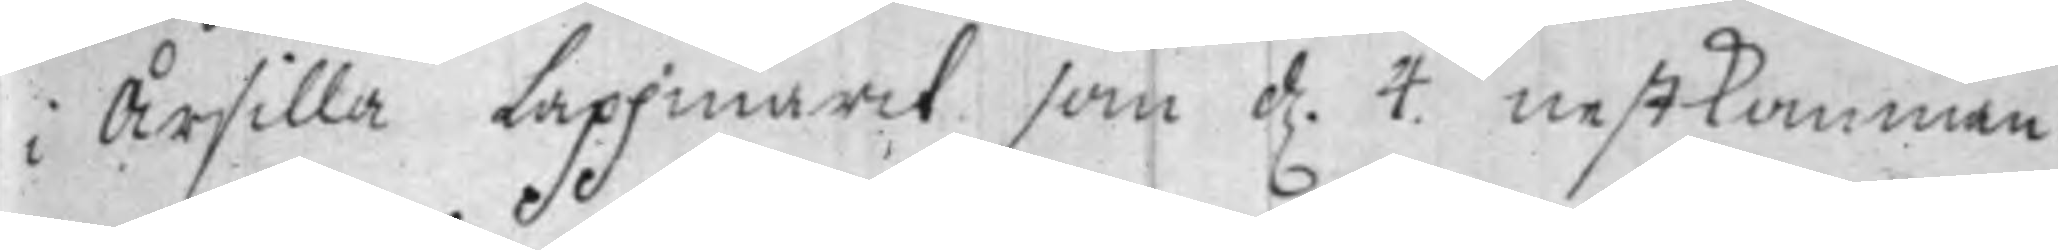i Årsilla Lappmark som d. 4. nestkomman¬
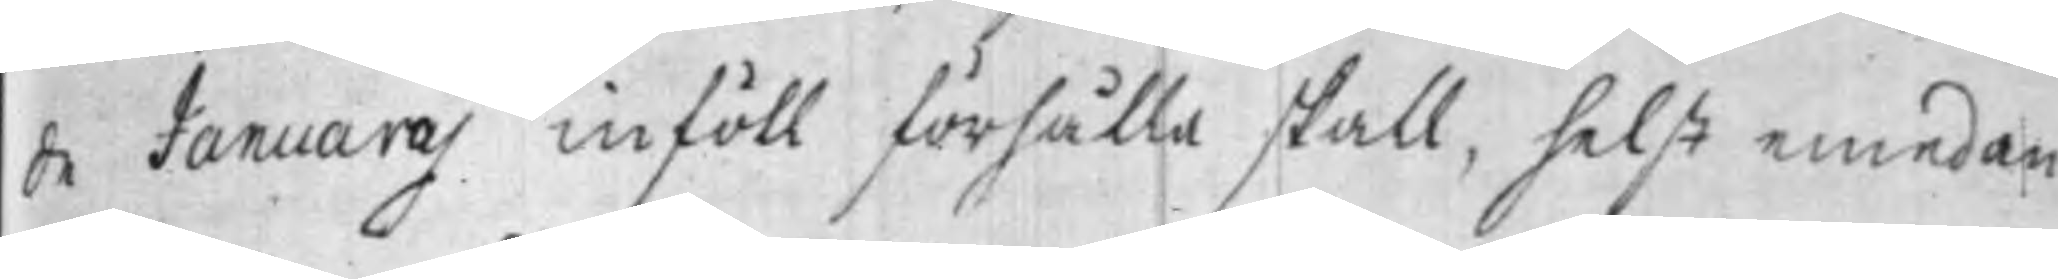de Januarij inföll förhålla skall, helst emedan
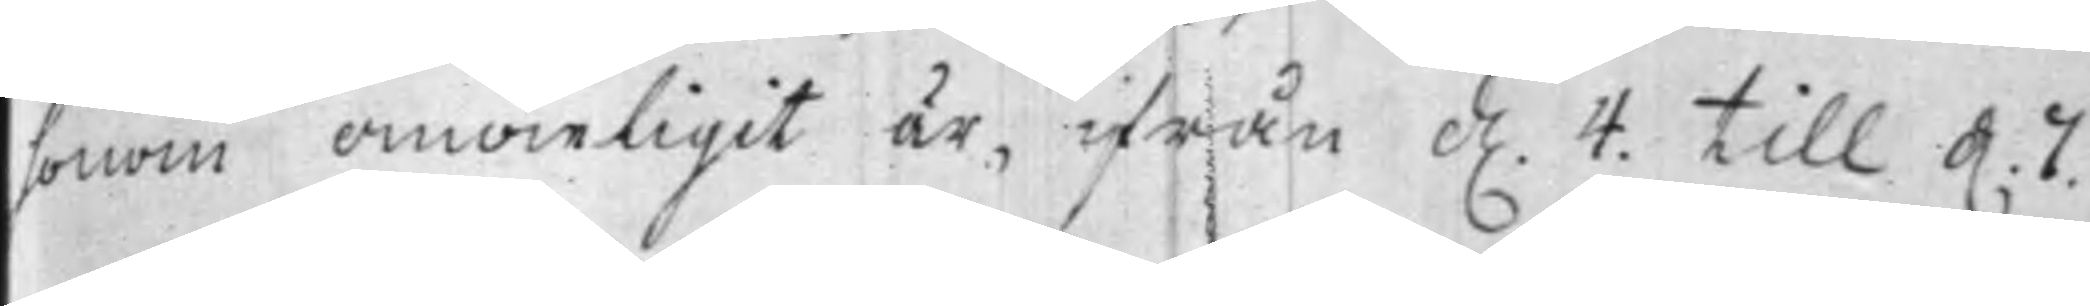honom omöieligt är, ifrån d. 4. till d. 7.
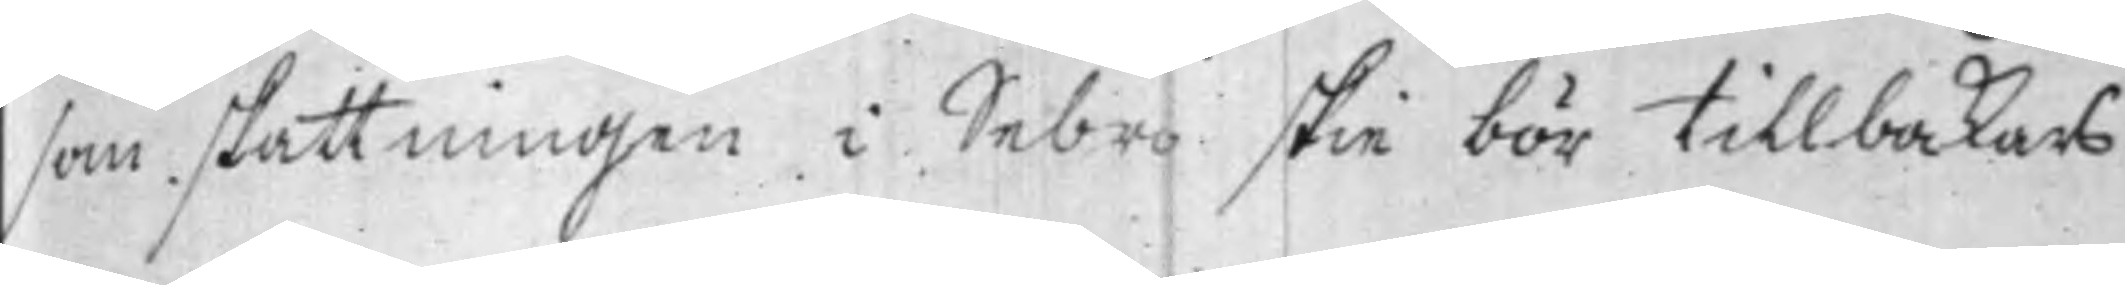som skattningen i Sebro skie bör tillbakars
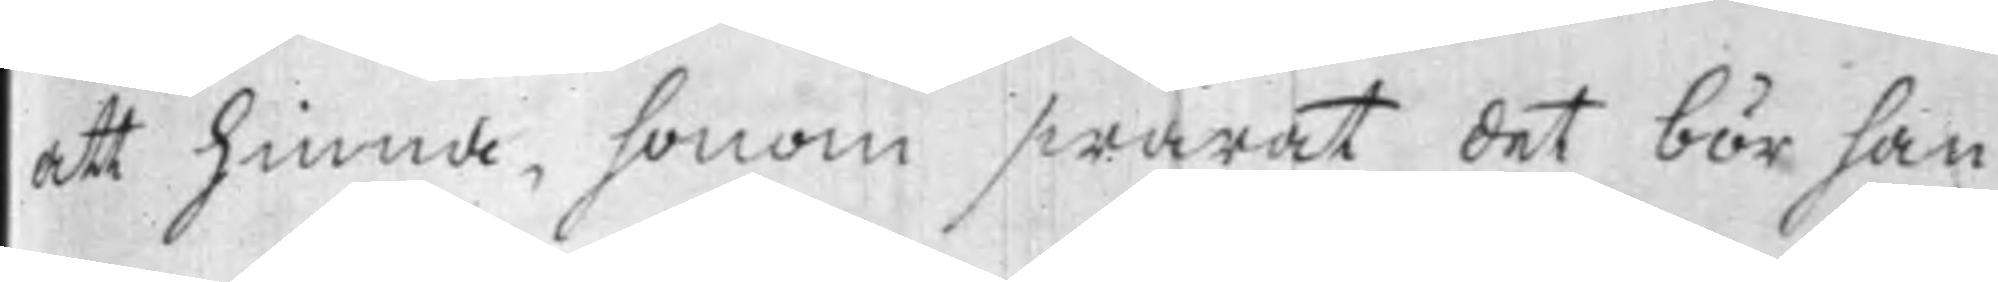att hinna, honom swarat det bör han
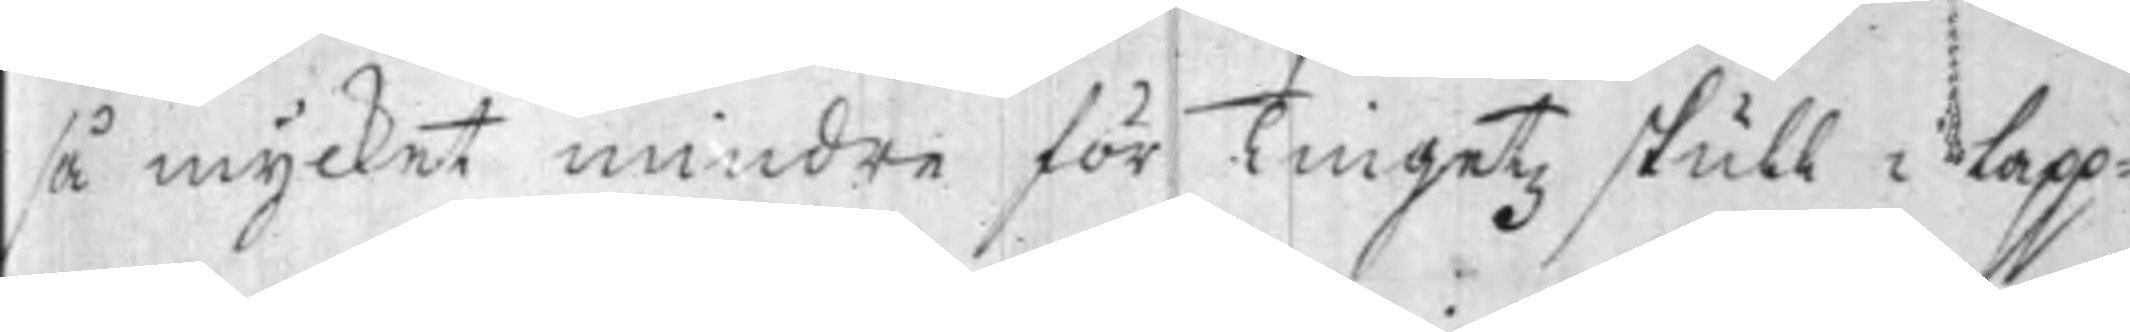så mycket mindre för Tingetz skull i lapp¬
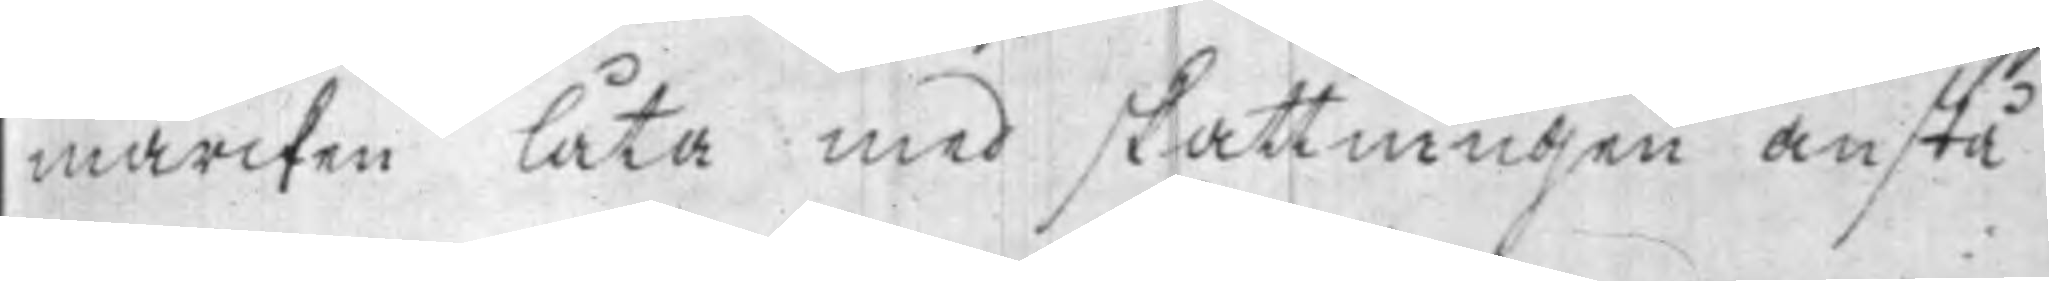marcken låta med skattningen anstå
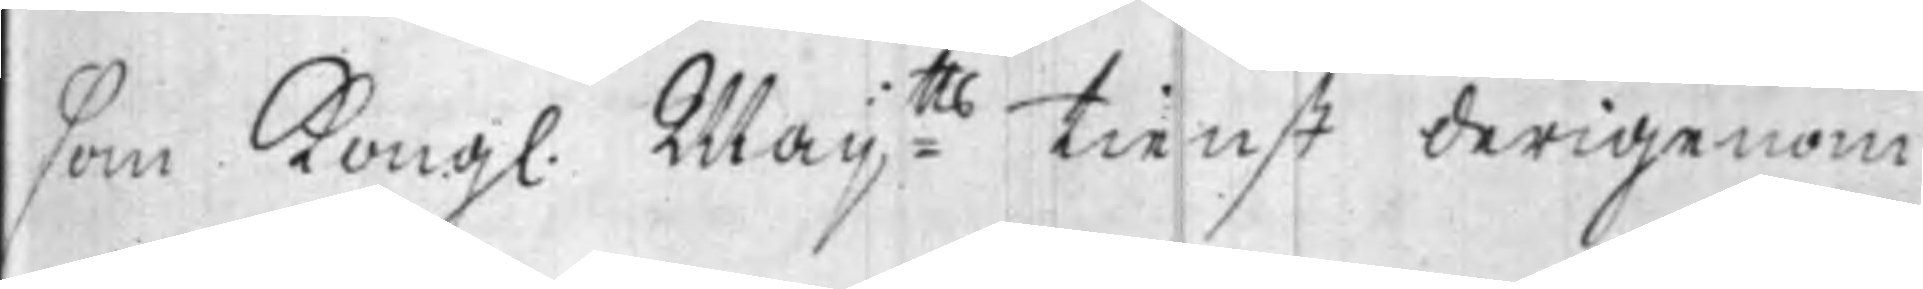som Kongl. Maij:tts tienst derigenom
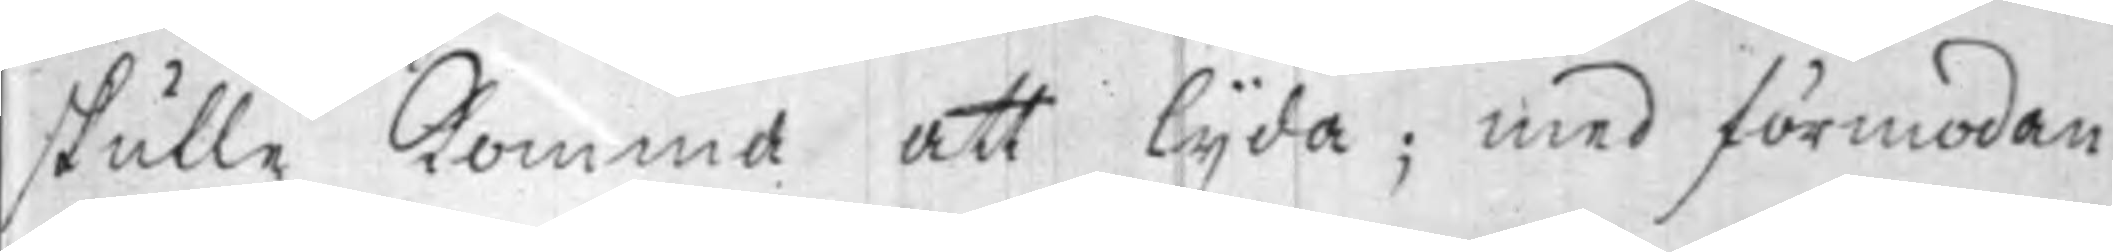skulle komma att lijda, med förmodan
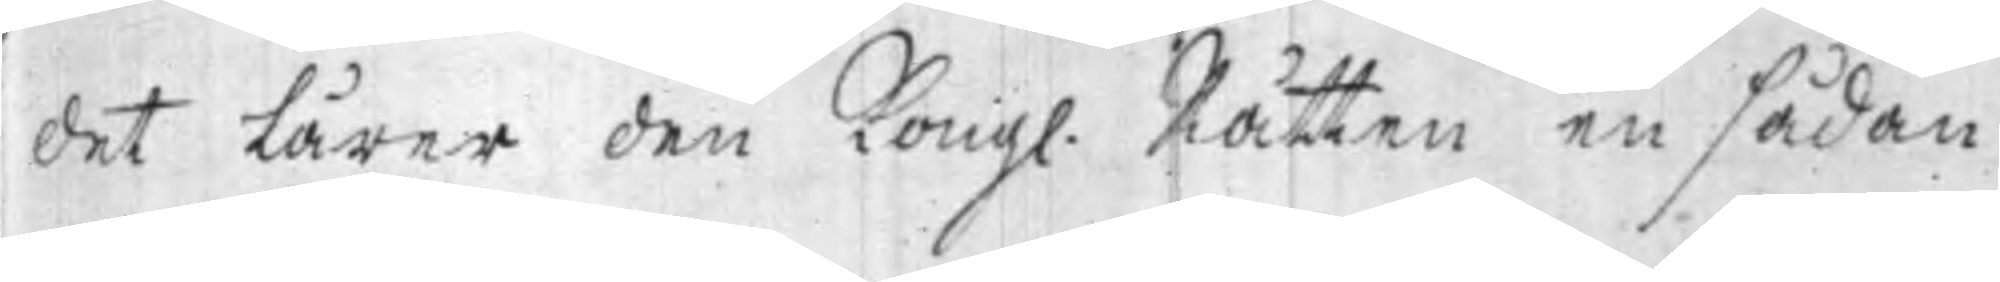det lärer den Kongl. Rätten en sådan
